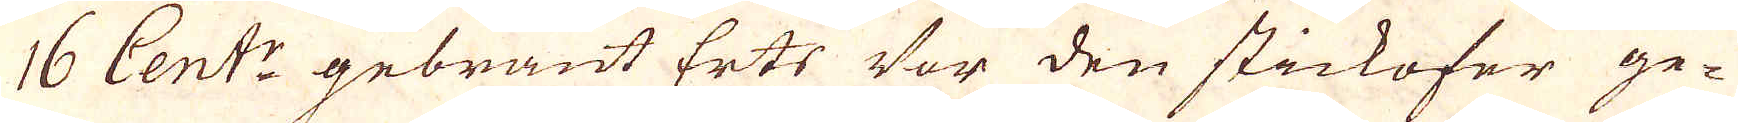16 Cent:r gebrant Erts Vor den stickofer ge-
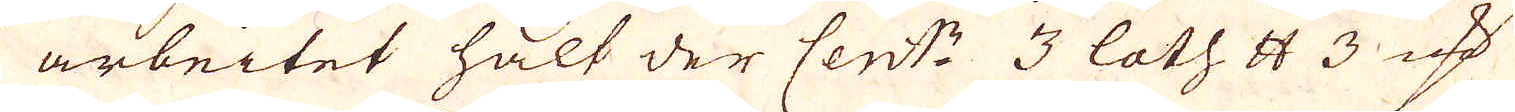arbeitet hält der Cent:r 3 loth skålpund 3 marker
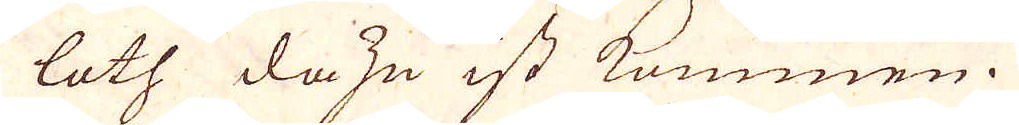loth dazu ist kommen.
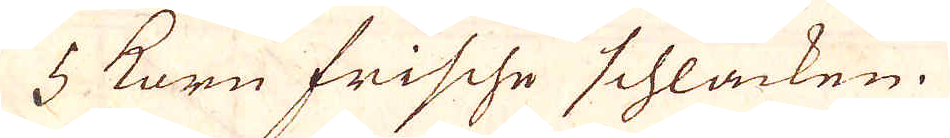5 korn Frische schlacken.
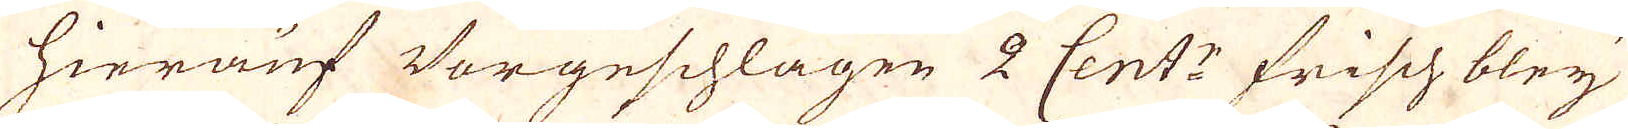Hierauf Vorgeschlagen 2 Cent:r Frisch bleij
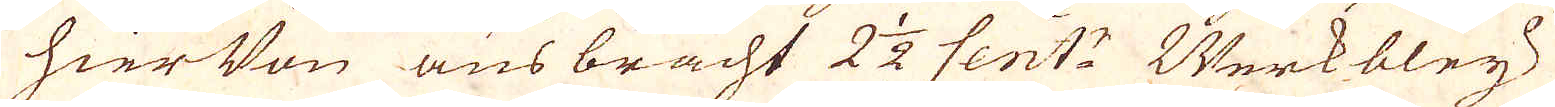hier Von ausbracht 2 1/2 Cent:r Werkbleij
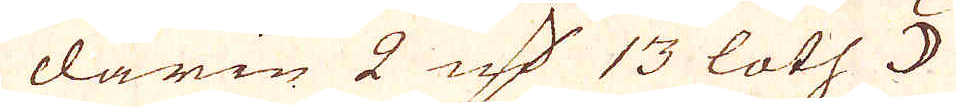darin 2 marker 13 loth ☽
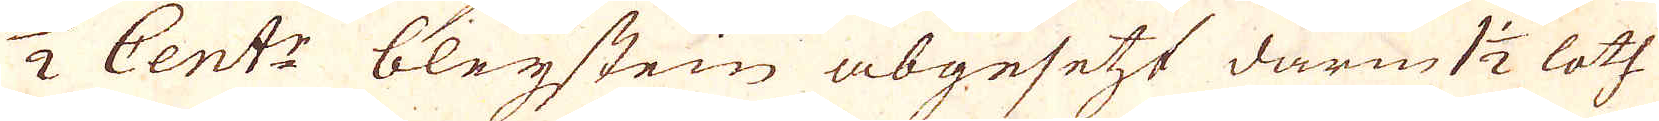1/2 Cent:r bleijstein abgesetzt darin 1 1/2 loth
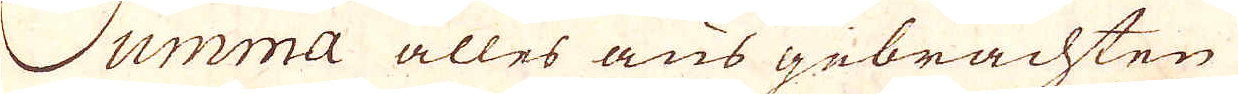Summa alles aus gebrachten
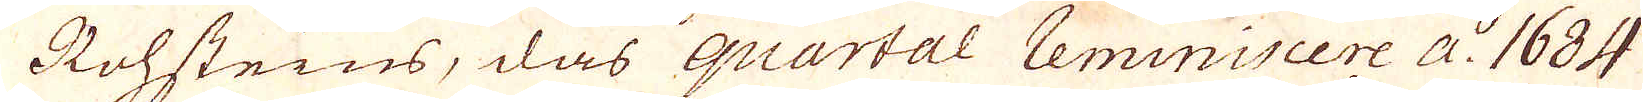Rohsteins, das quartal Reminiscere a:o 1684
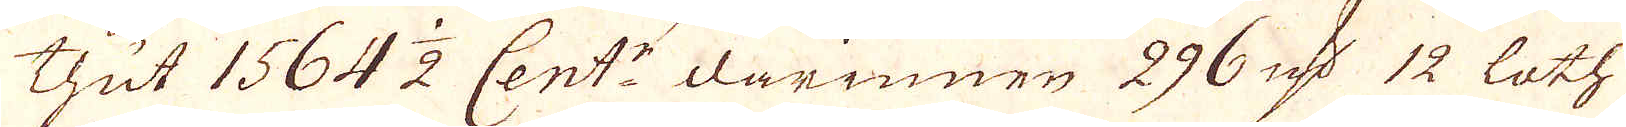thut 1564 1/2 Cent:r darinnen 296 marker 12 loth
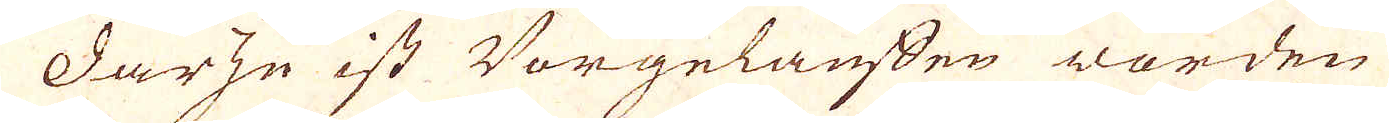Darzu ist Vorgelauffen worden
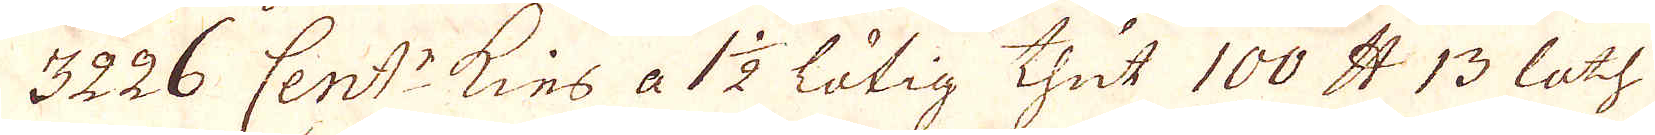3226 Cent:r Kies a 1 1/2 lötig thut 100 skålpund 13 loth
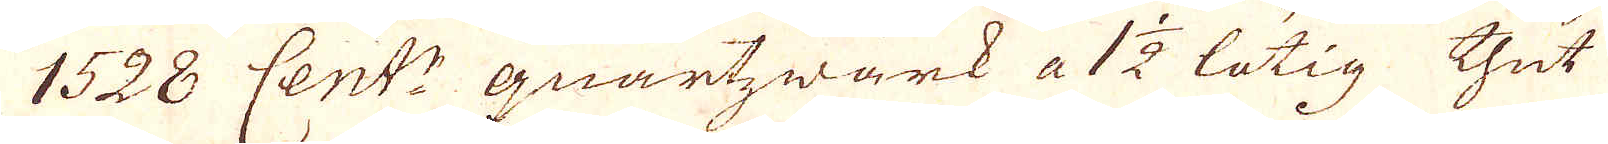1528 Cent:r quartzwärk a 1 1/2 lötig thut
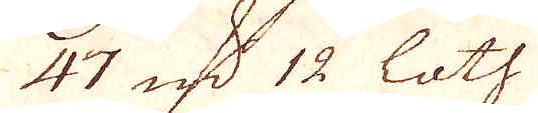47 marker 12 loth
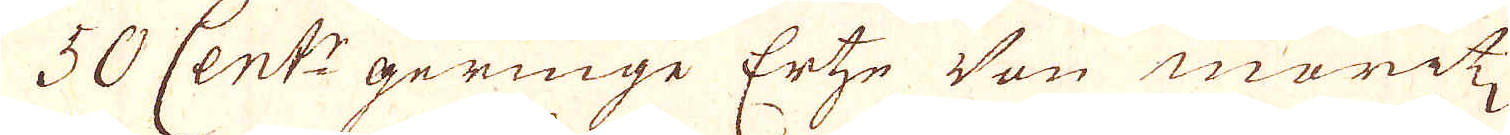50 Cent:r geringe Ertze Von Moritz
